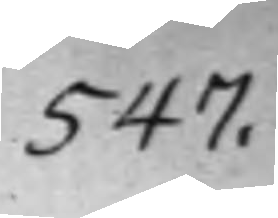547.
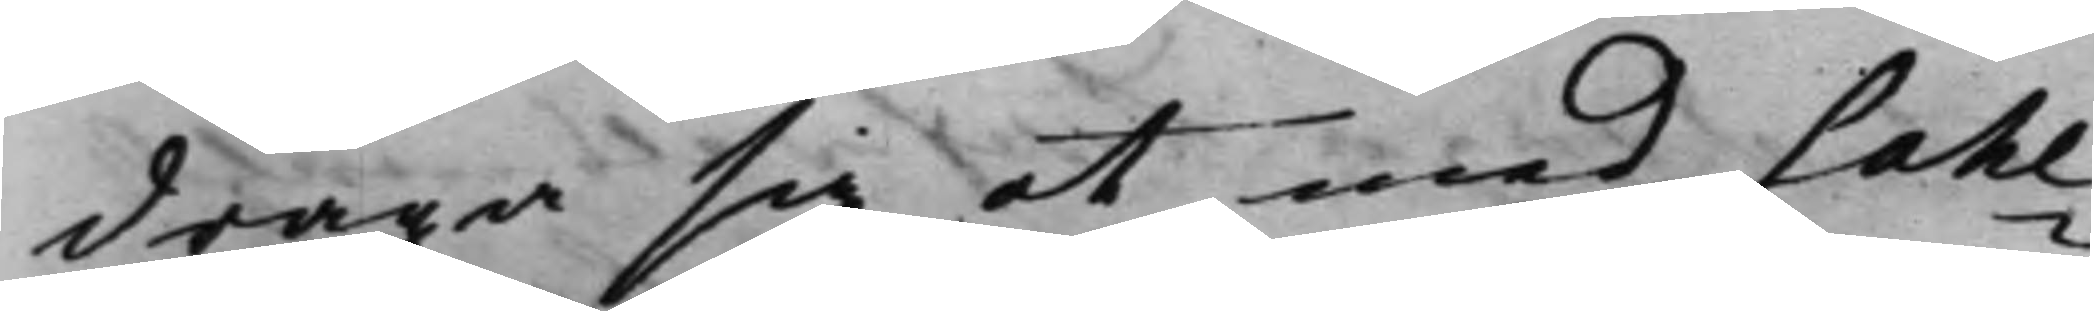draga sig at med Sahl¬
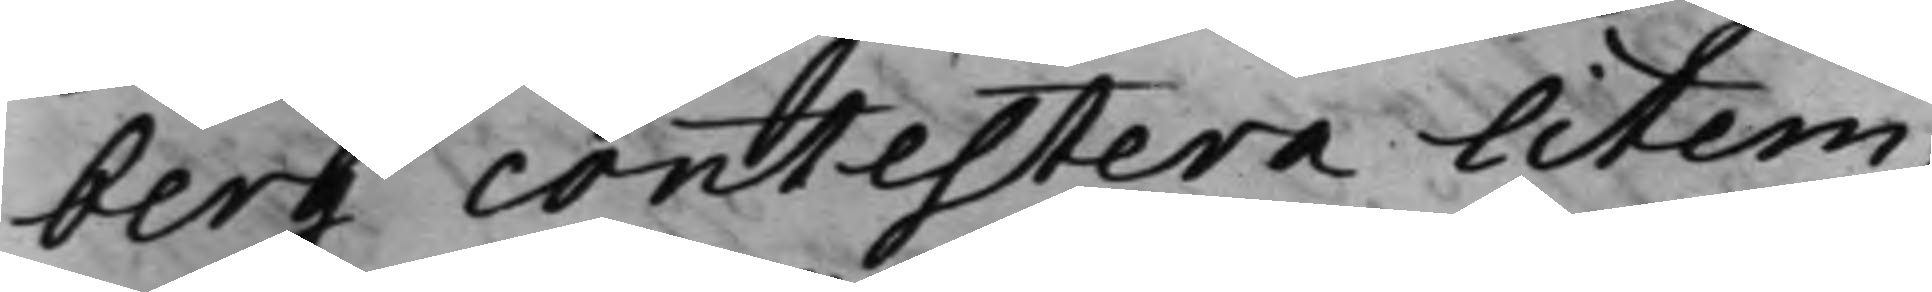berg contestera litem,
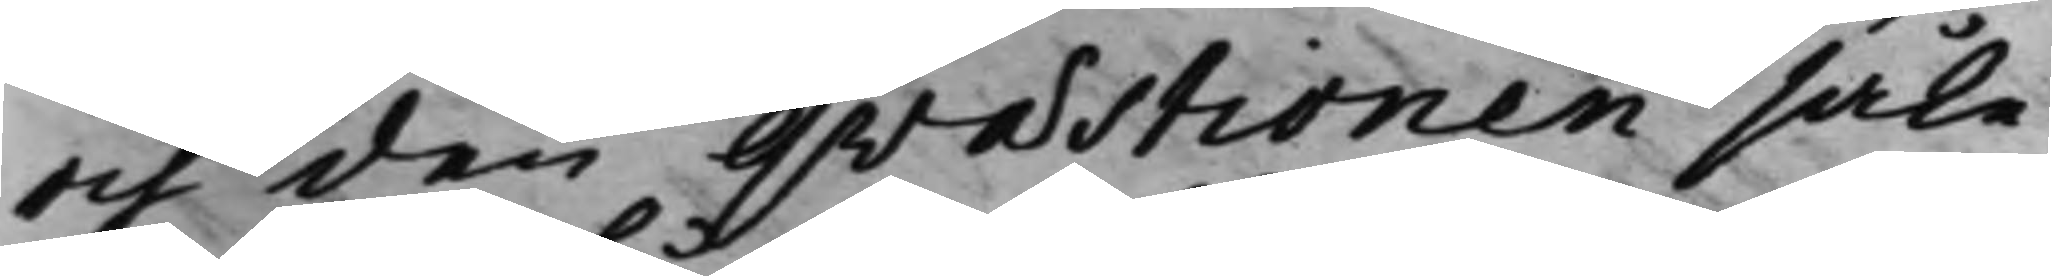och den qvæstionen såle¬
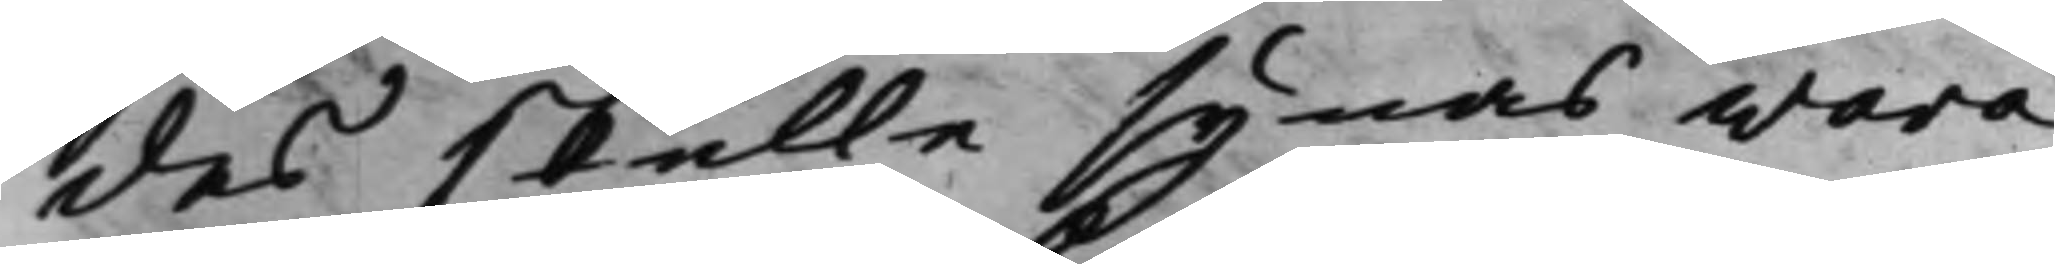des skulle synas wara
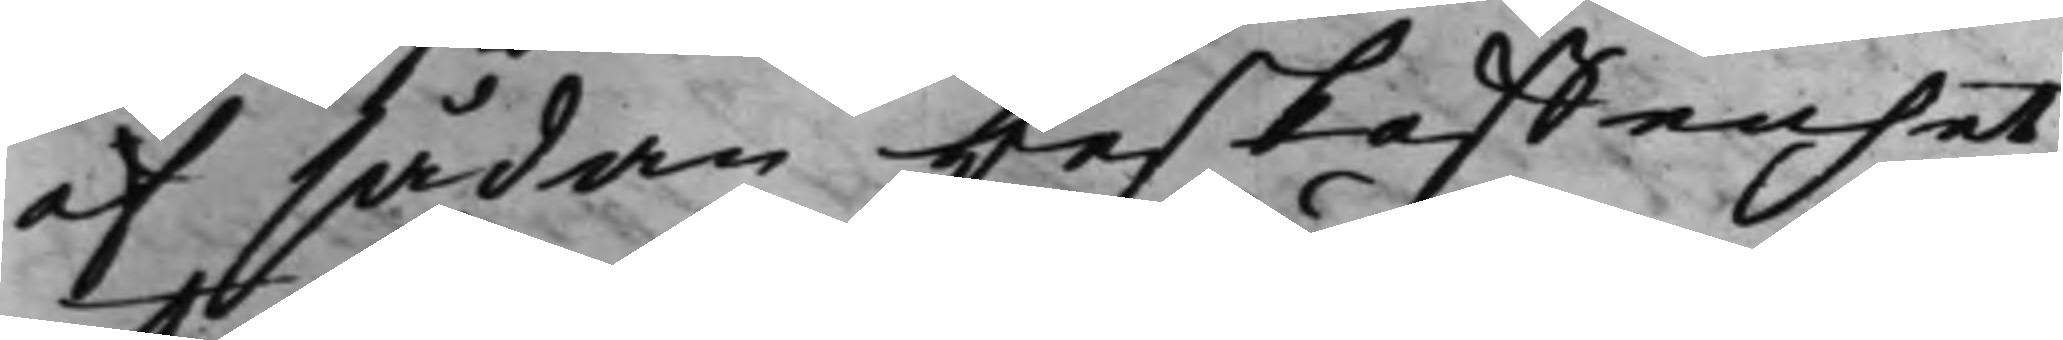af sådan beskaffenhet,
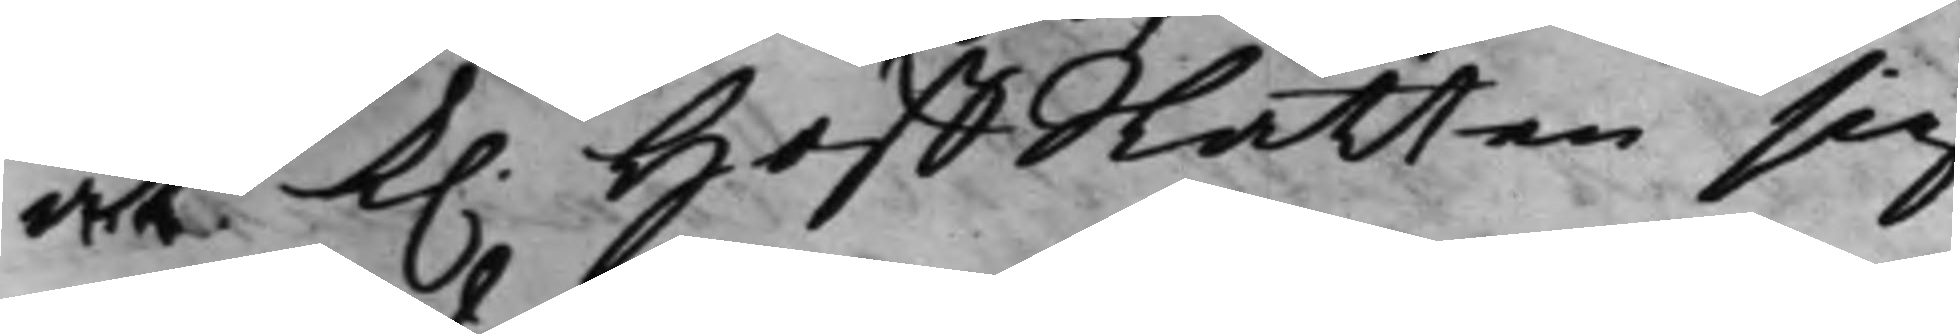at K. HoffRätten sig
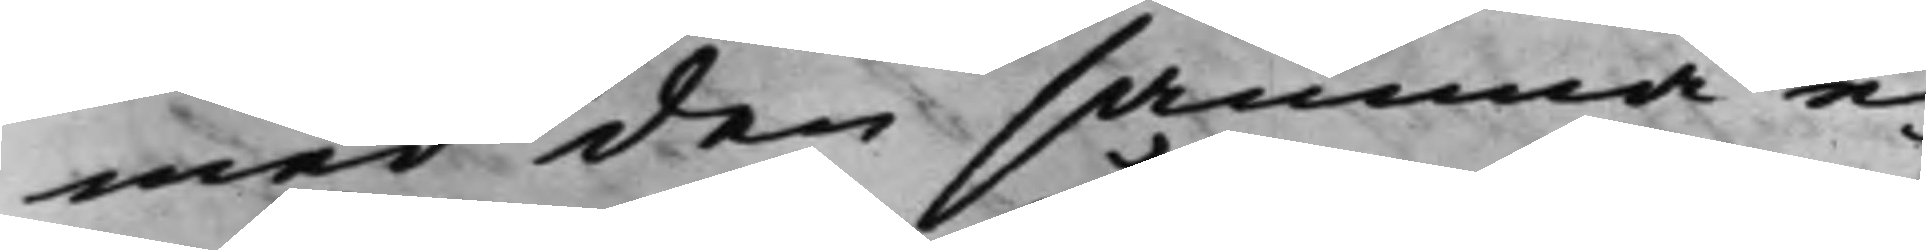med den samma e¬
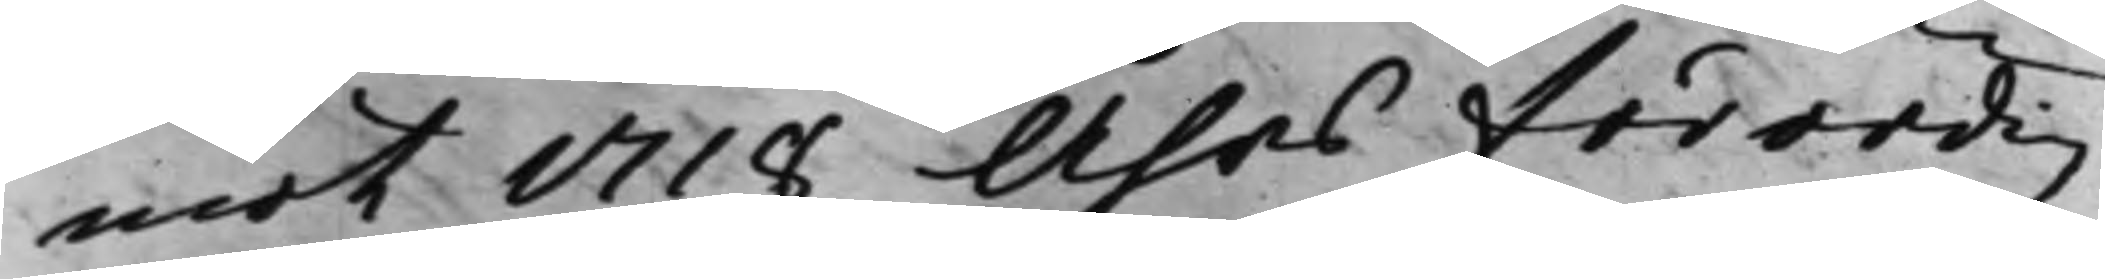mot 1718 Åhrs Förordig
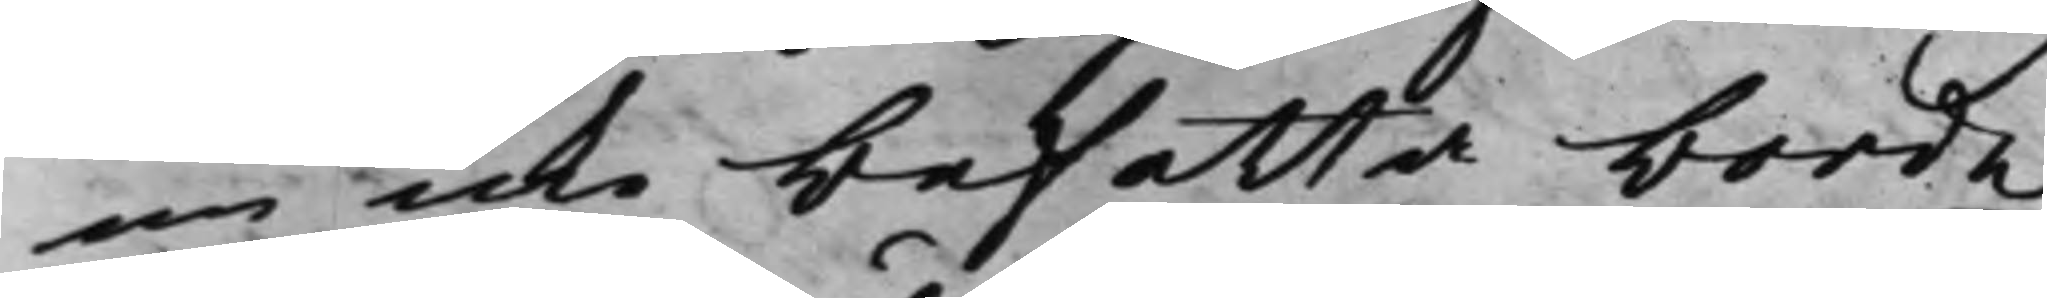nu icke befatta borde,
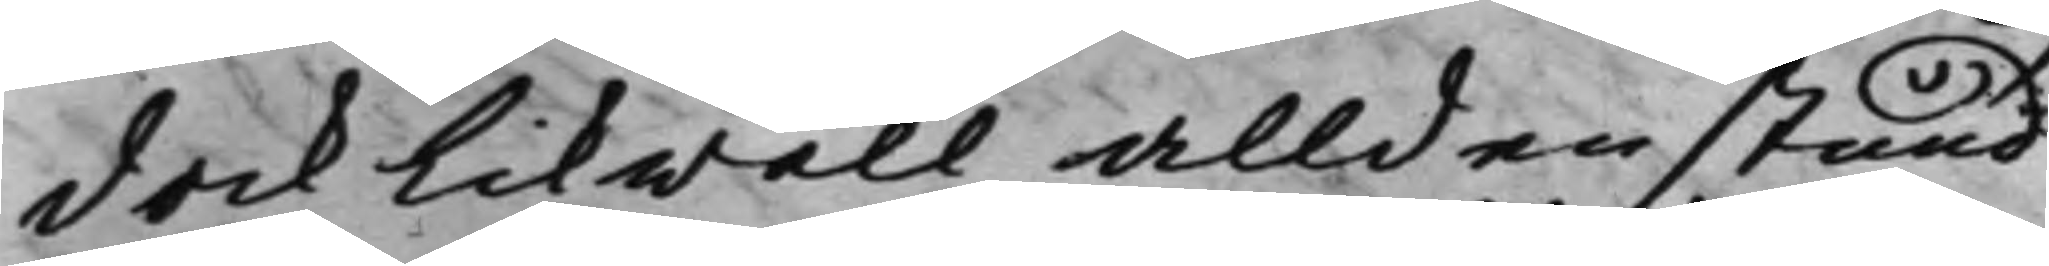dock likwäll alldenstund
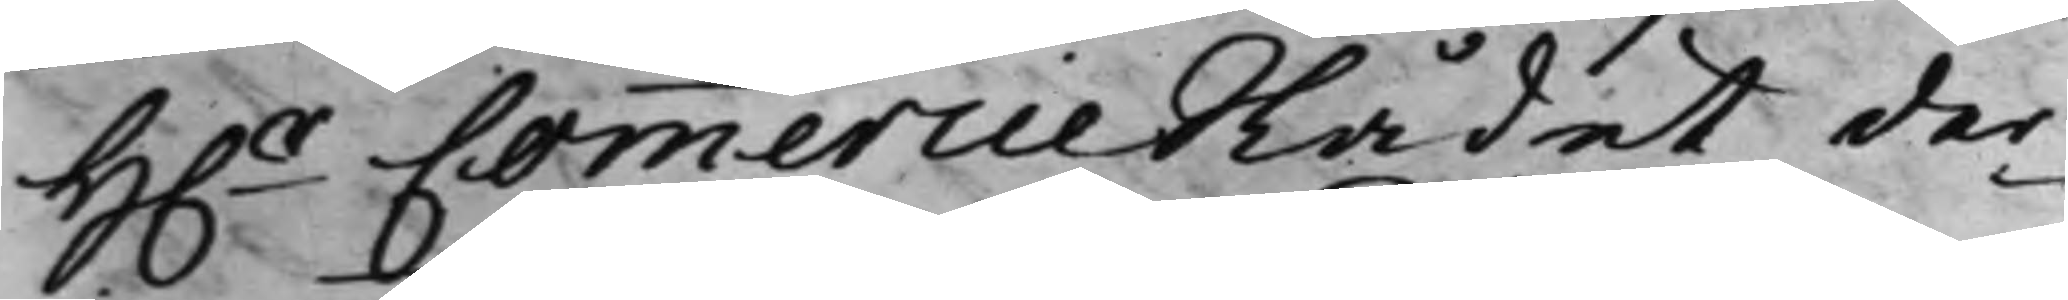H..r CommercieRådet der¬
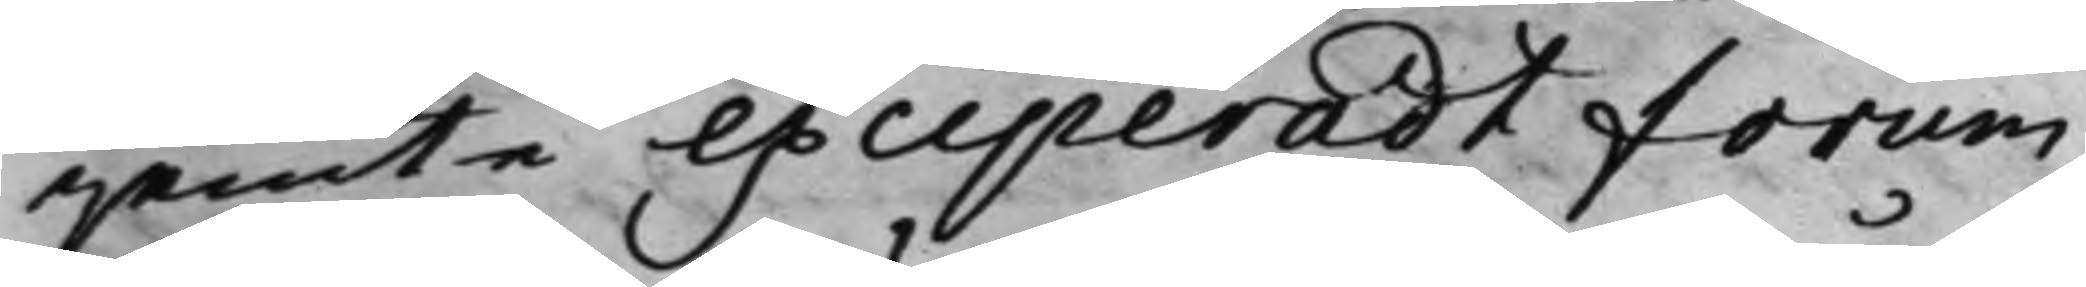jemte exciperadt forum,
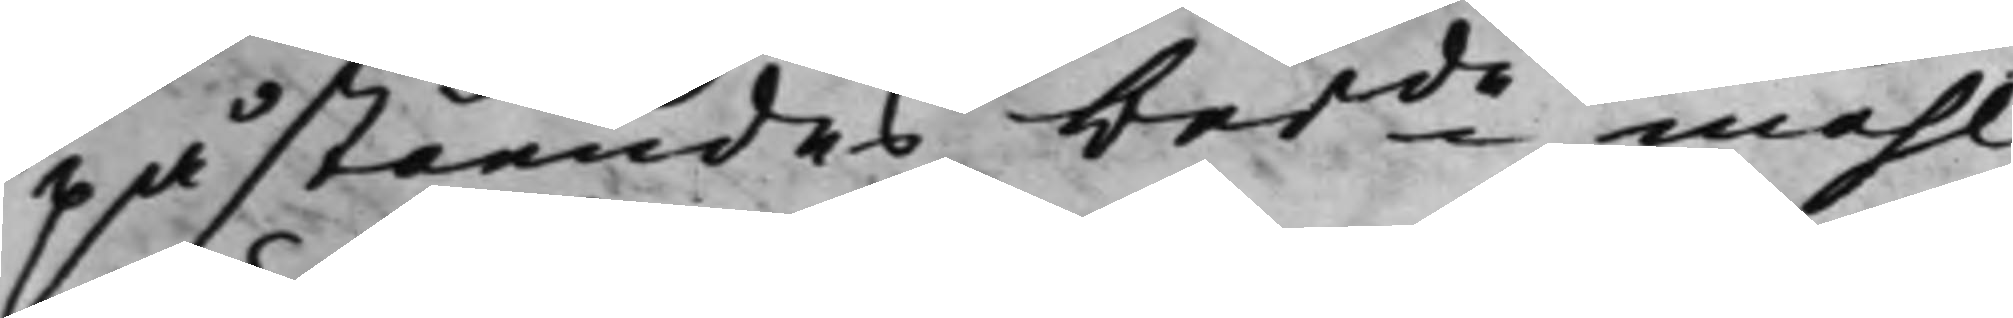påståendes berde måhl
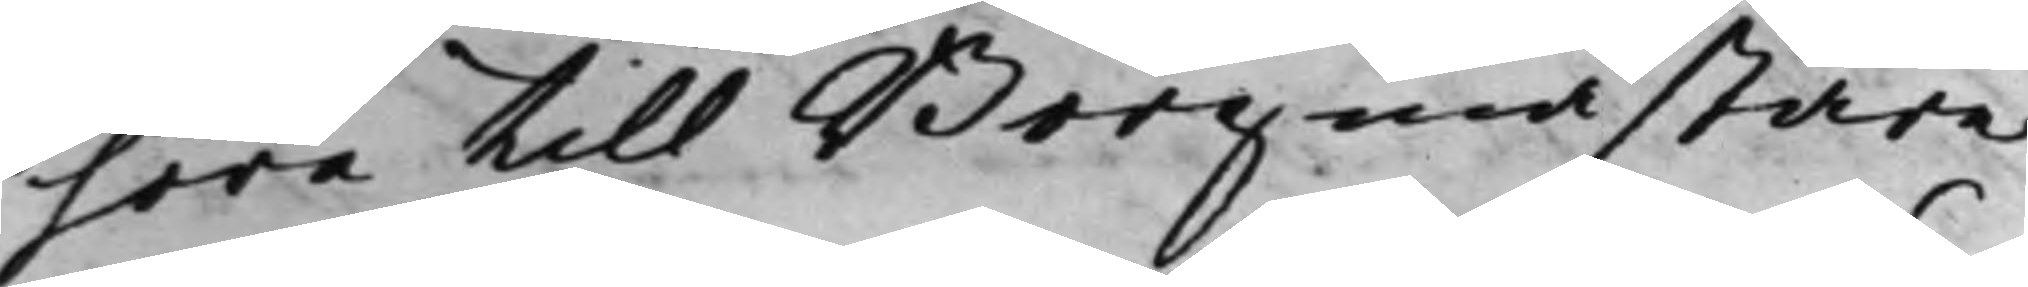höra till Borgmästare
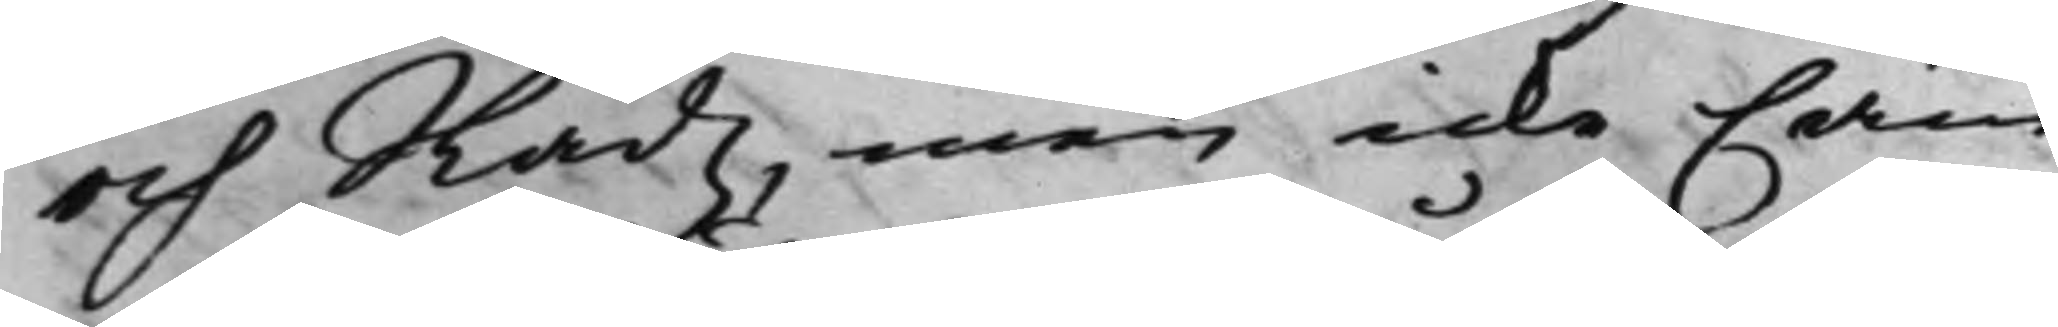och Rådz, men icke Cäm¬
